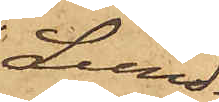Lund¬
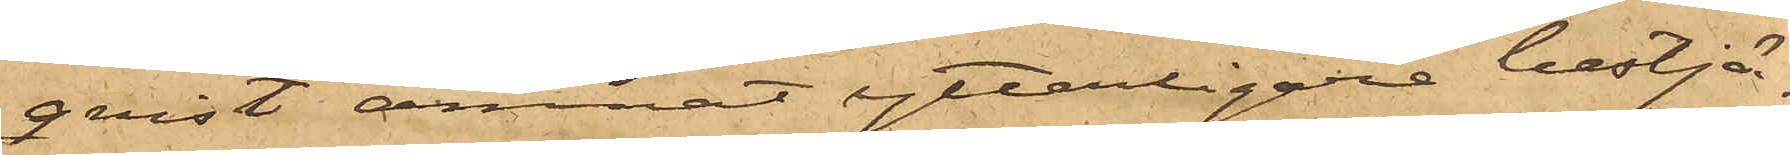qvist ämnat ytterligare bestjä¬
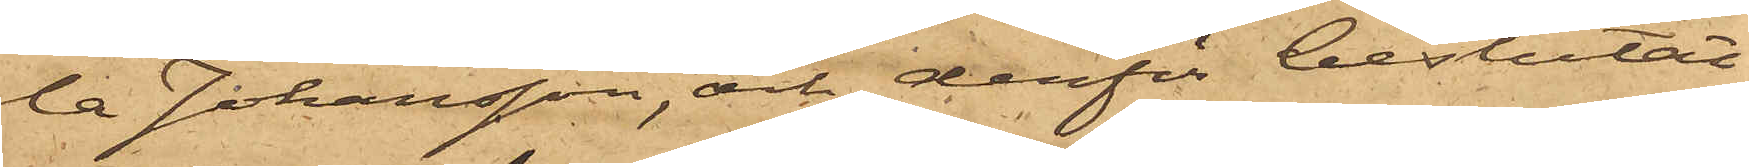la Johansson, och derför beslutat
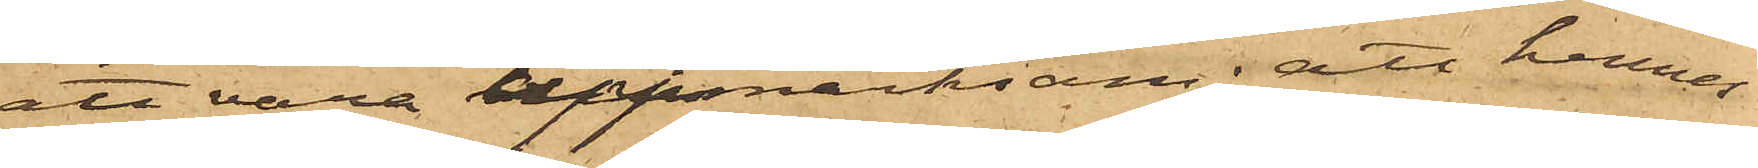att vara uppmärksamn; att hennes
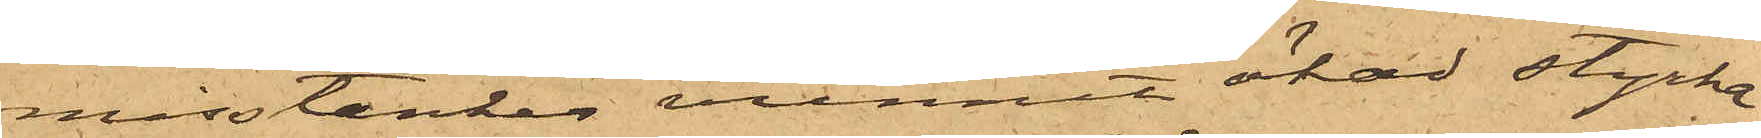misstankar vunnit ökad styrka
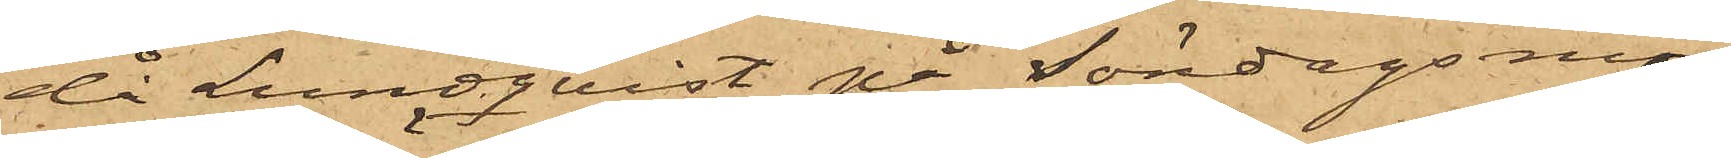då Lundqvist på söndagsmor¬
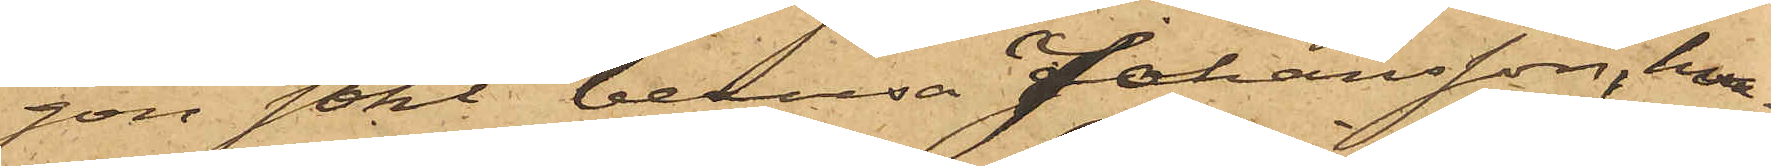gon sökt berusa Johansson, hva¬
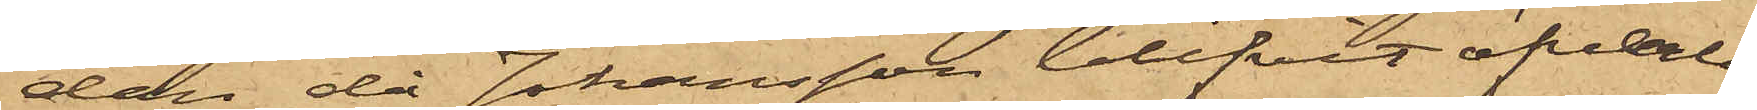dan då Johansson blifvit öfverla¬
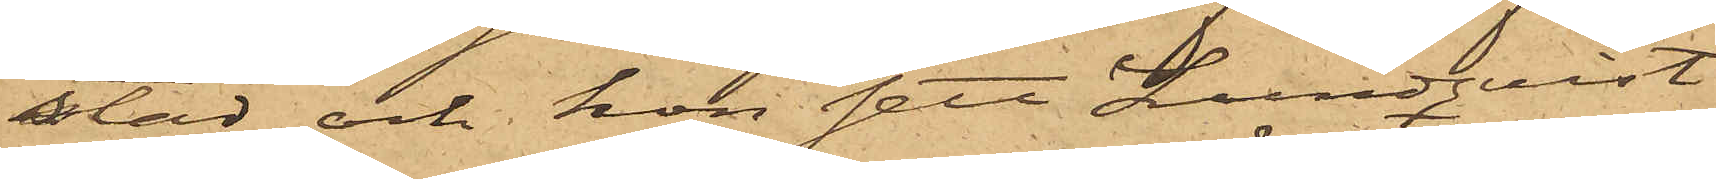stad och hon sett Lundqvist
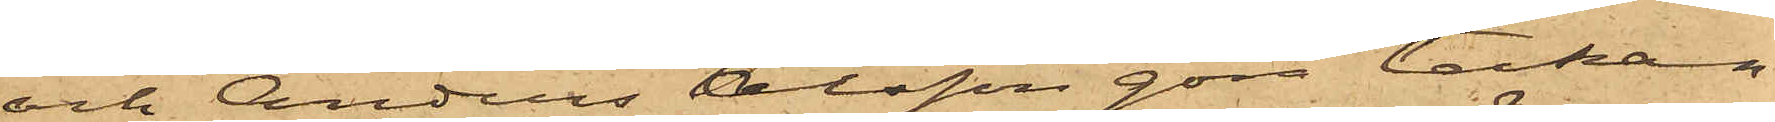och Anders Olsson göra tecken
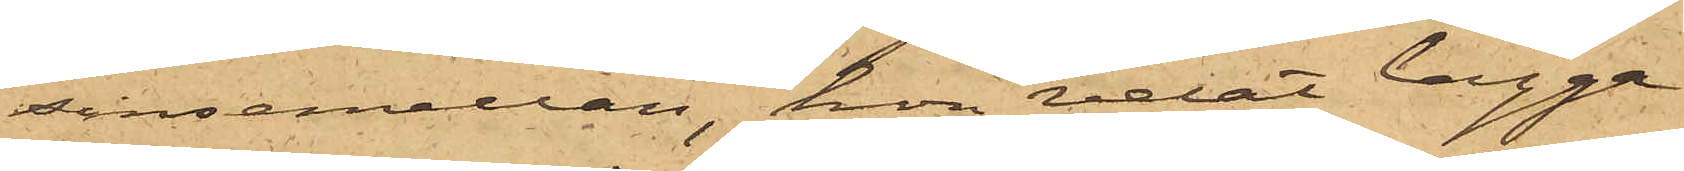sinsemellan, hon velat lägga
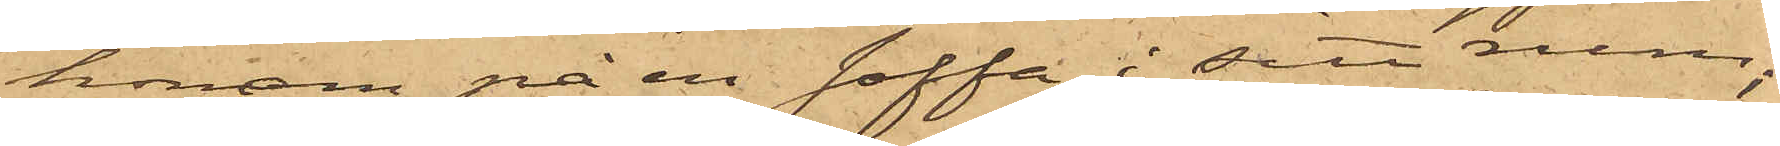honom på en soffa i sitt rum;
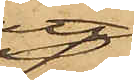att
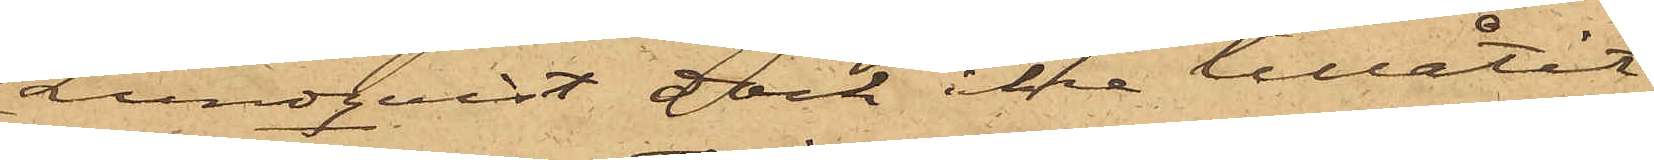Lundqvist dock icke tillåtit
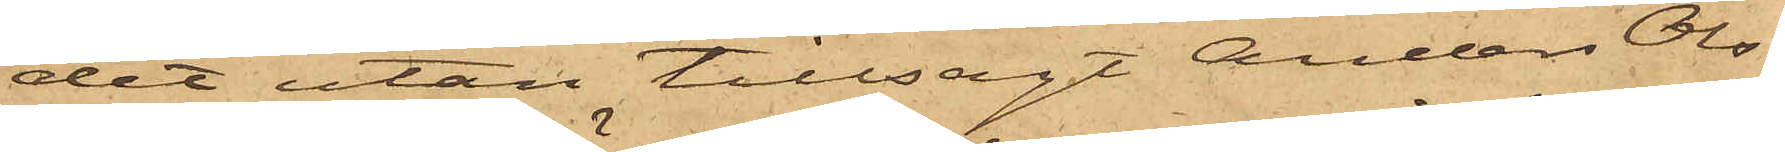det utan tillsagt Anders Ols¬
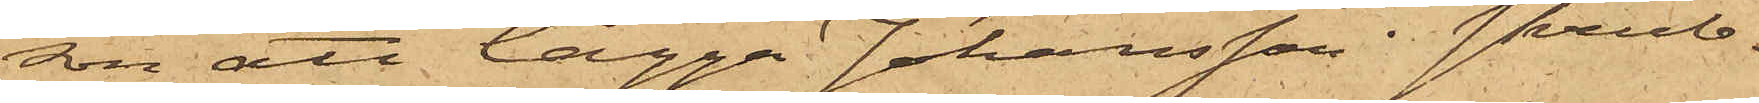son att lägga Johansson i skrub¬
